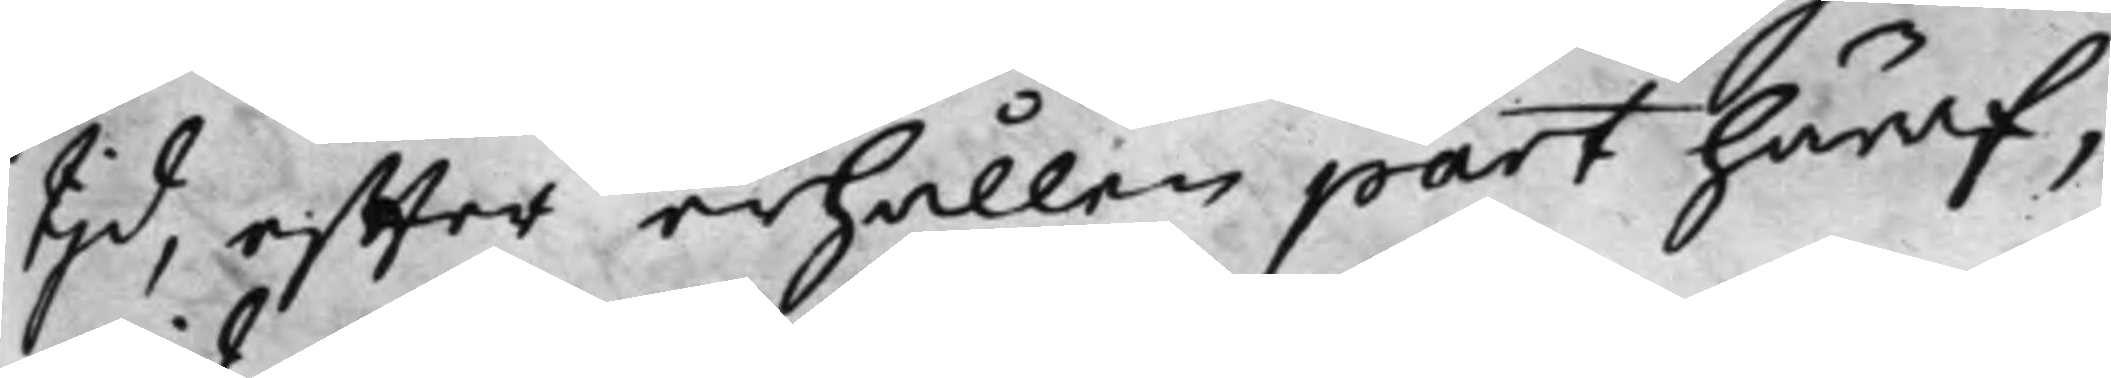tijd, effter erhållen part häraf,
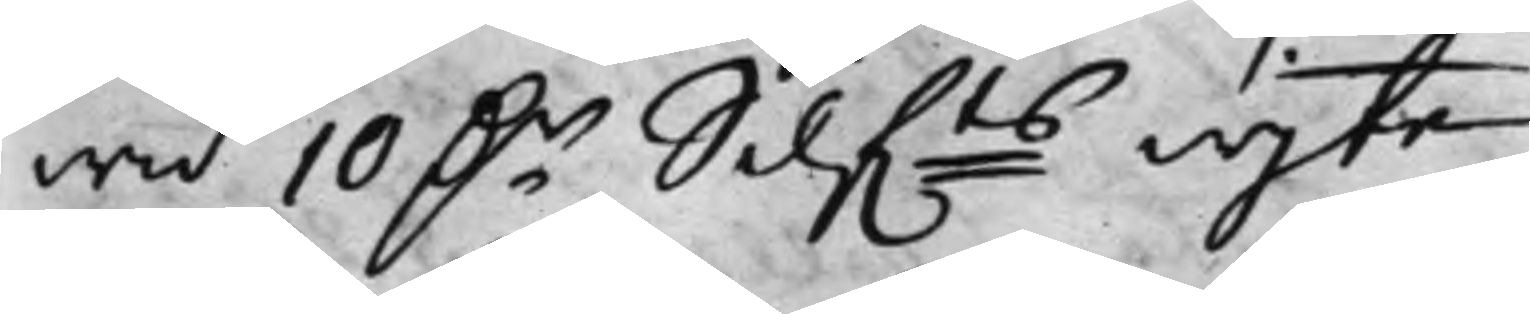wid 10 D.r Silf.ts wijte.
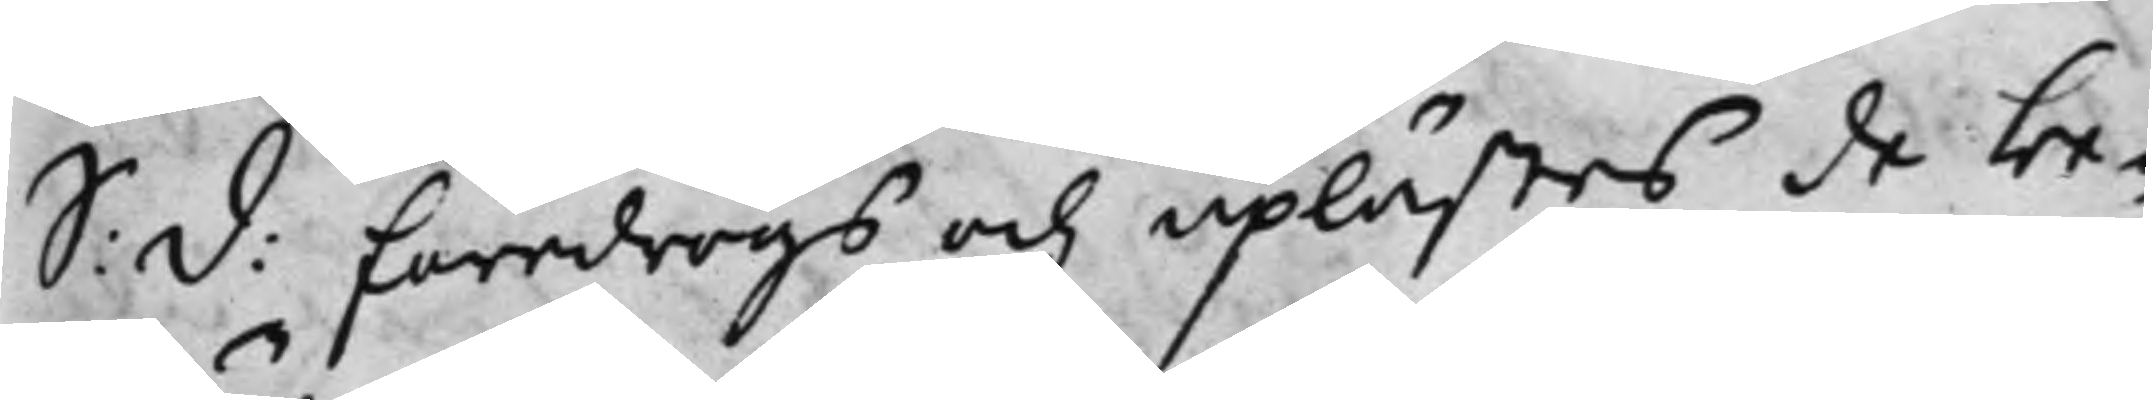S: d: Föredrogs och uplästes de be¬
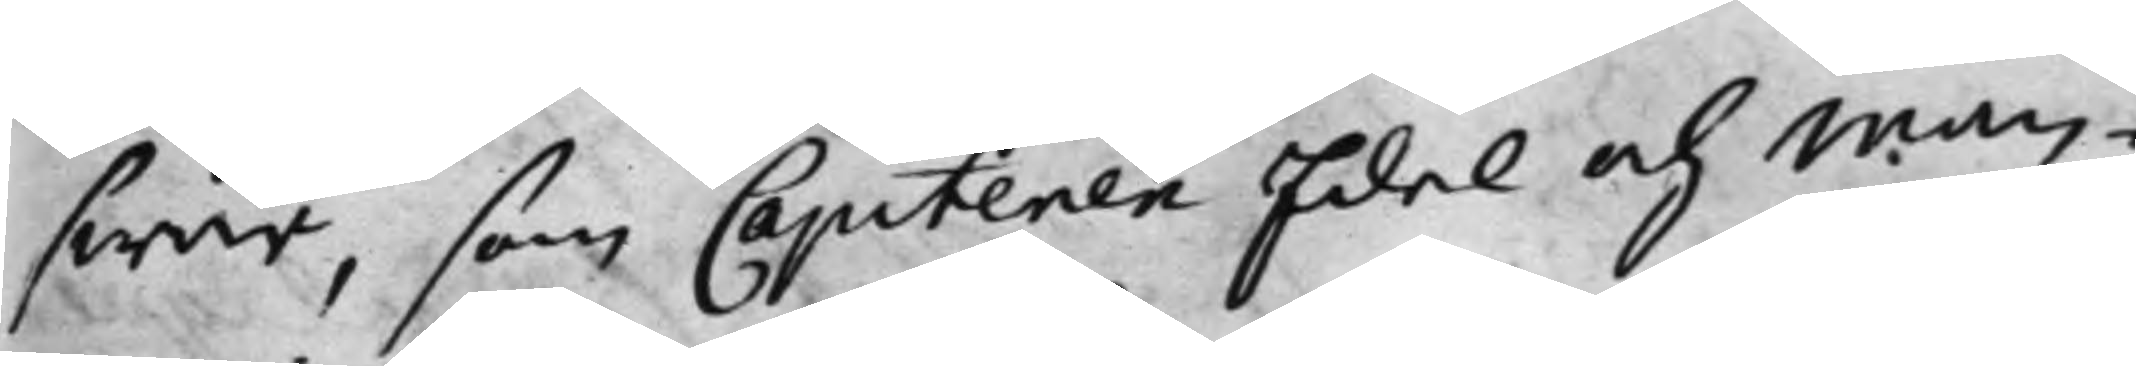swär, som Capitenen Edel och Man¬
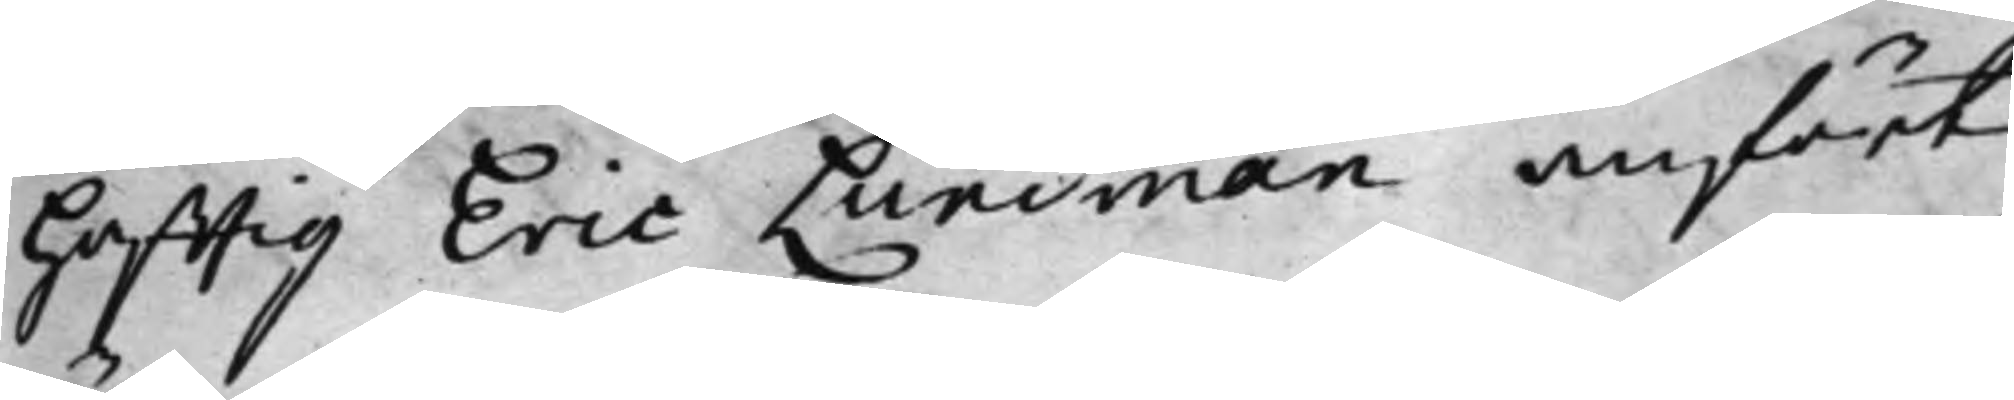Hafftig Eric Lundman anfört
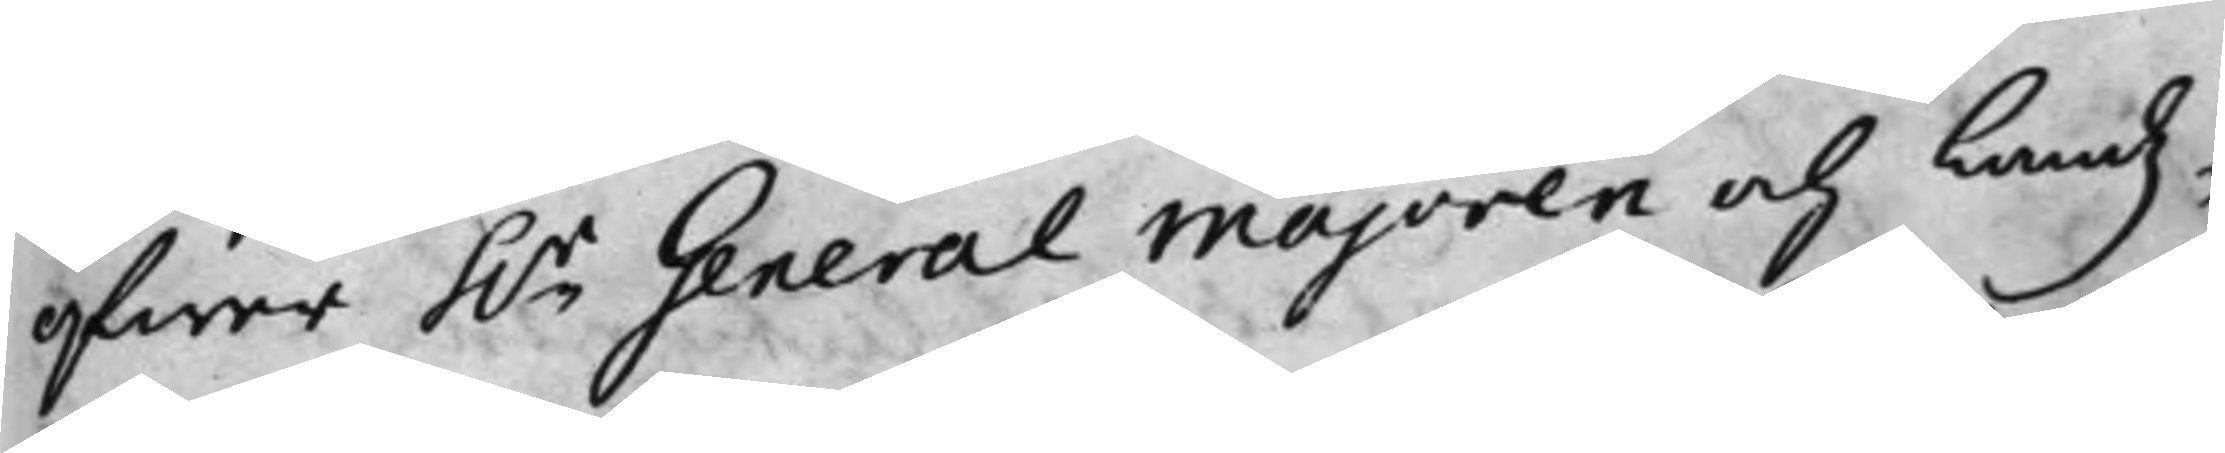öfwer h.r General Majoren och Landz¬
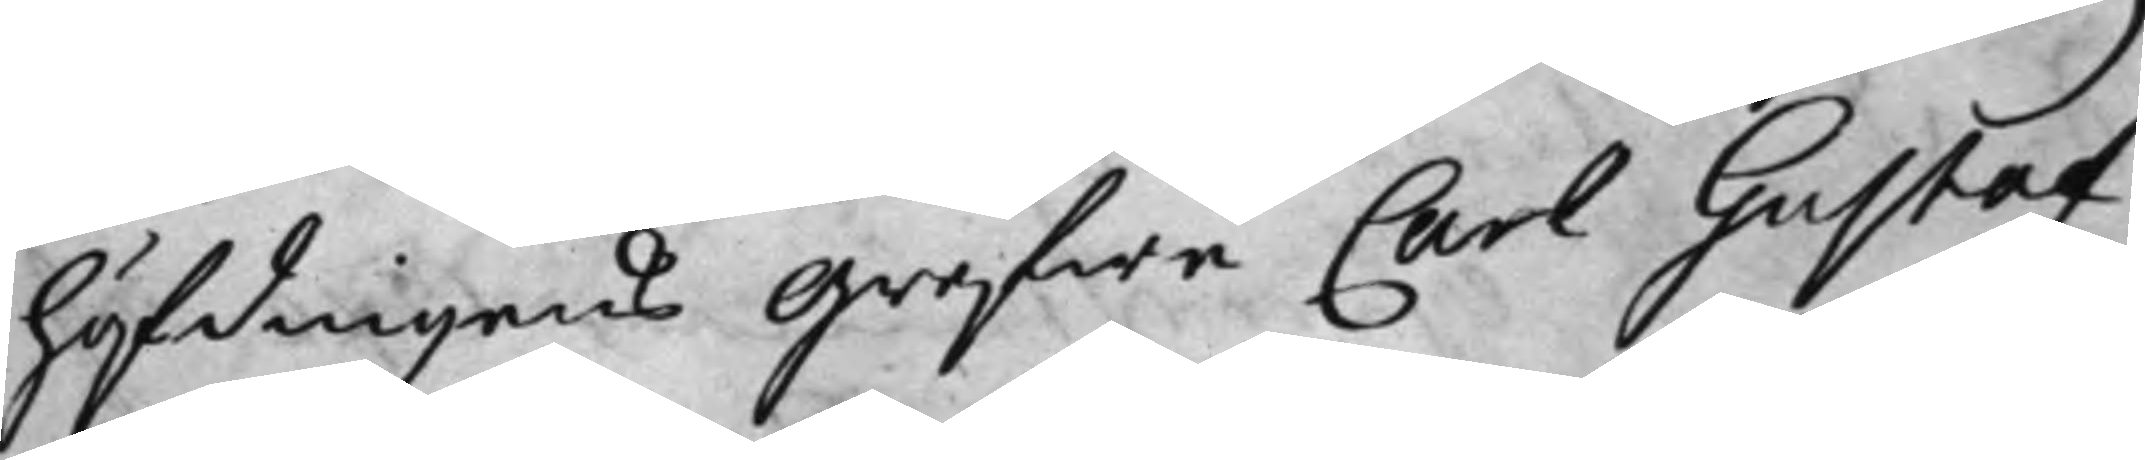höfdingens Grefwe Carl Gustaf
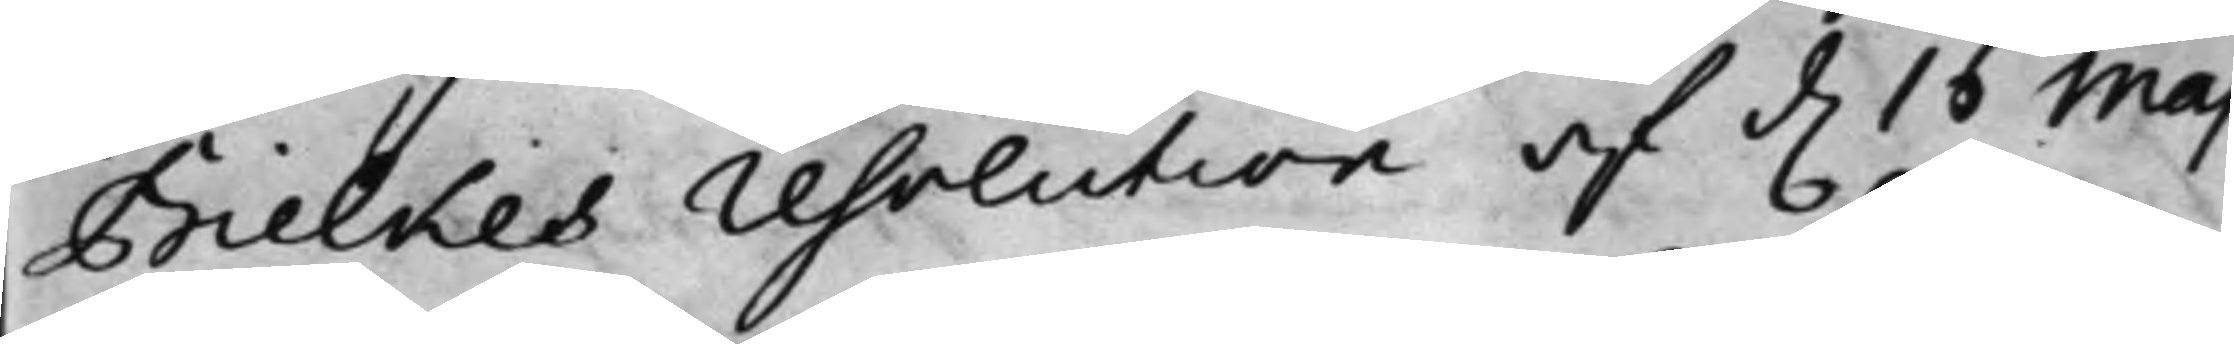Bielkes resolution af d. 16 Maj
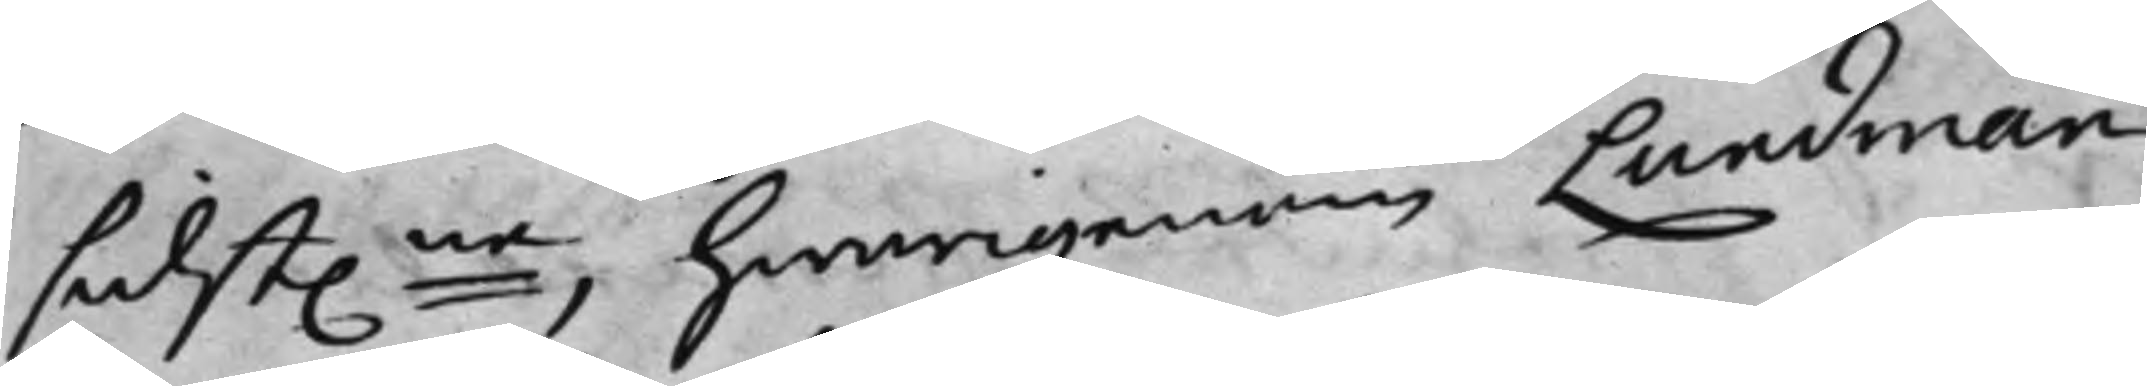sidst.ne, hwarigenom Lundman
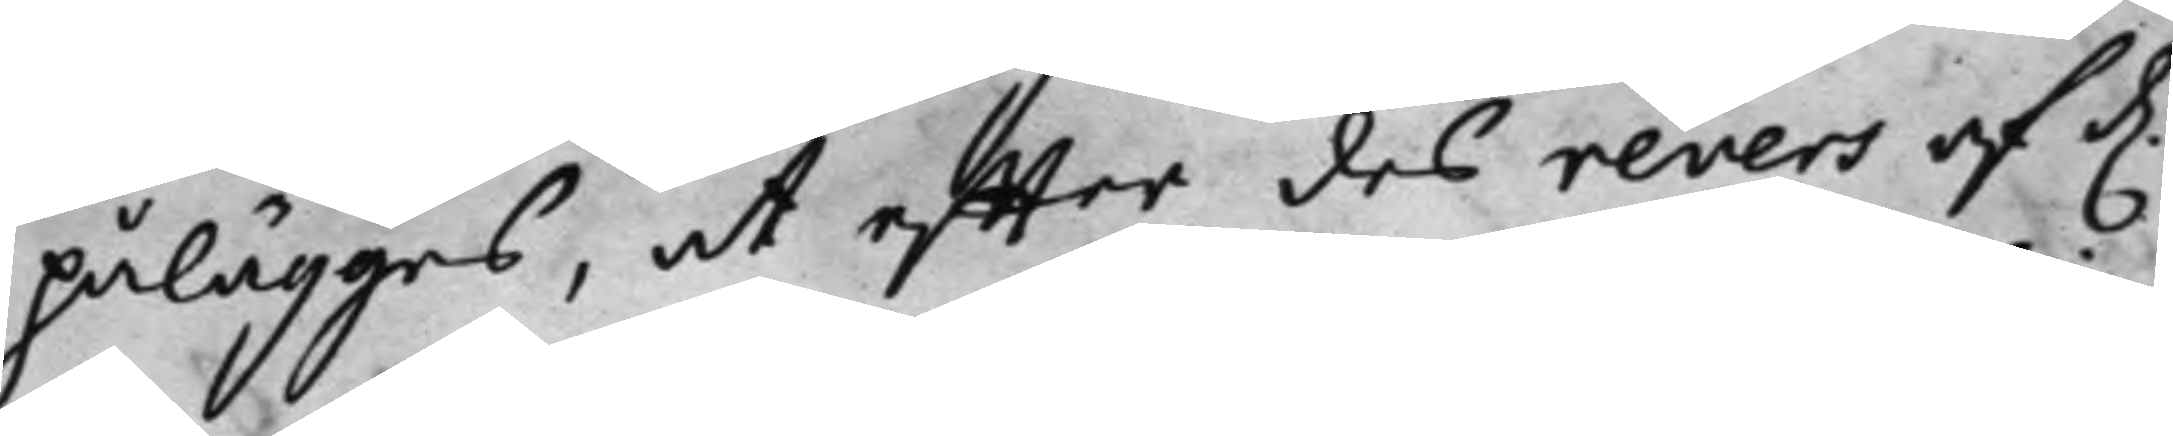påläggas, at effter des revers af d.
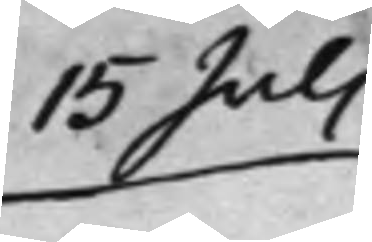15 Juli
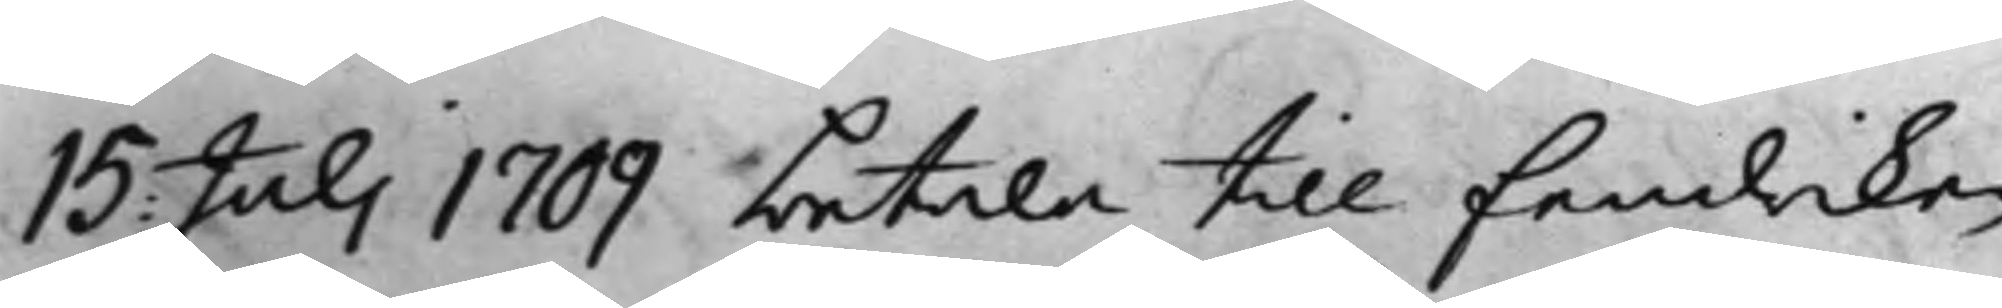15 Julii 1709 betala till fendriken
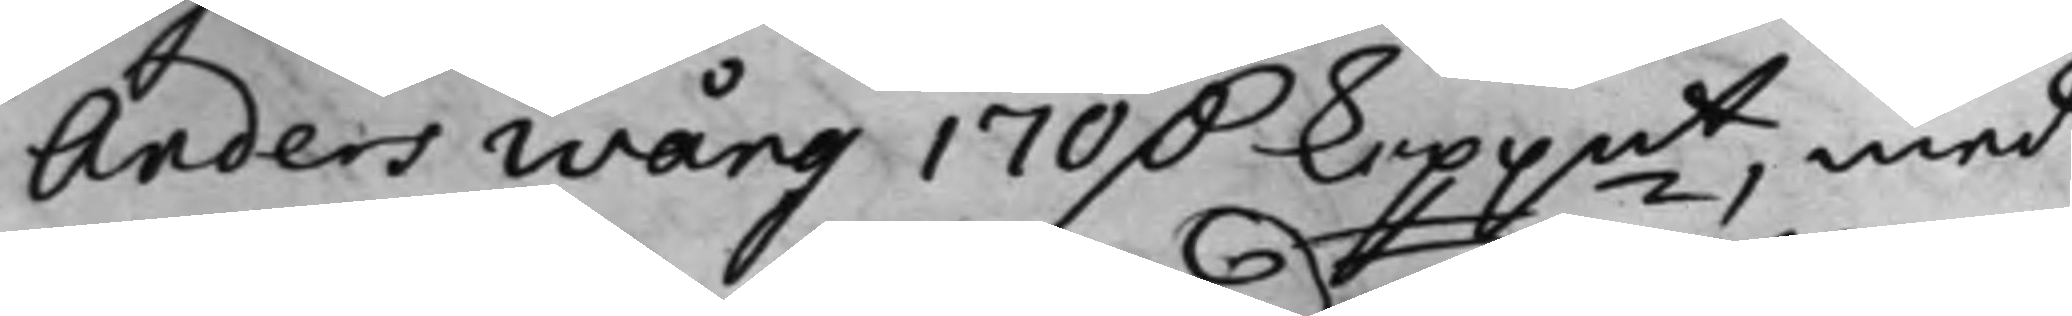Anders Wång 170 D. koppmt, med
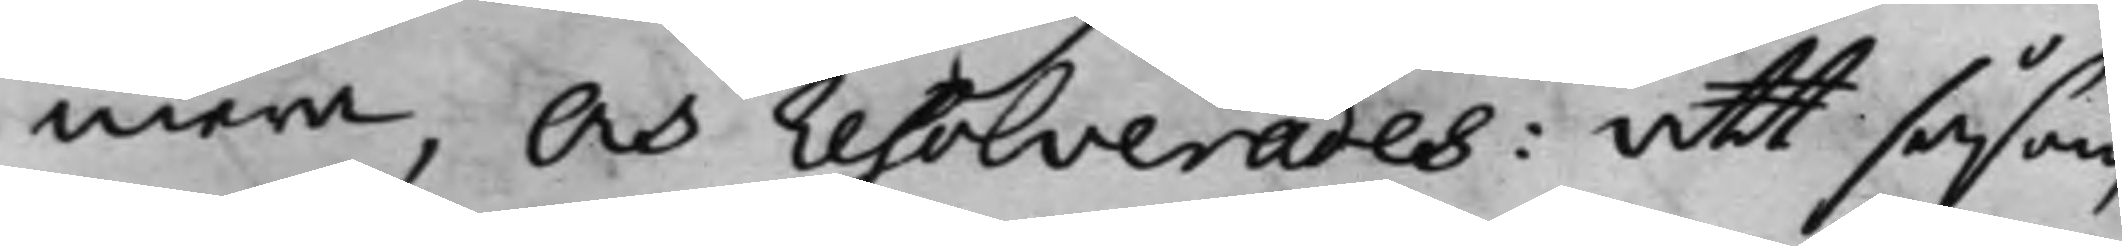mera, Och resolverades: att såsom
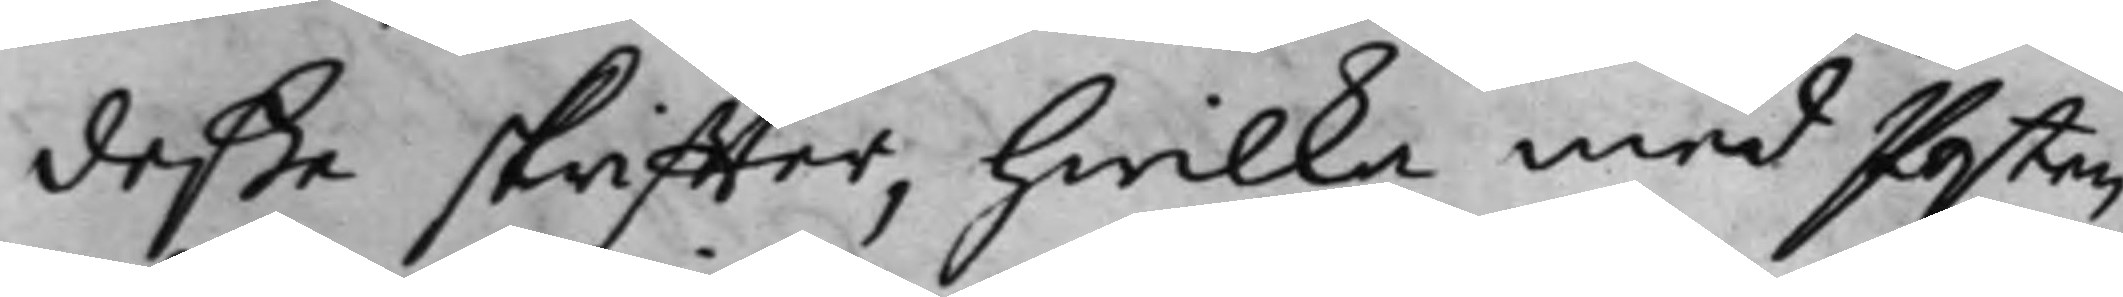deße skriffter, hwilka med Posten
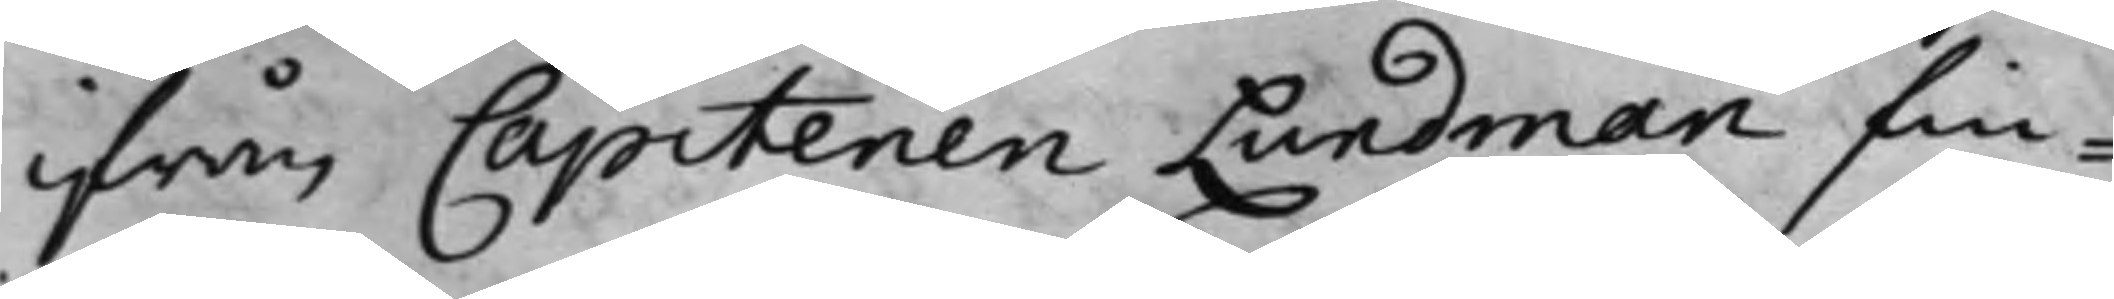ifrån Capitenen Lundman fin¬
